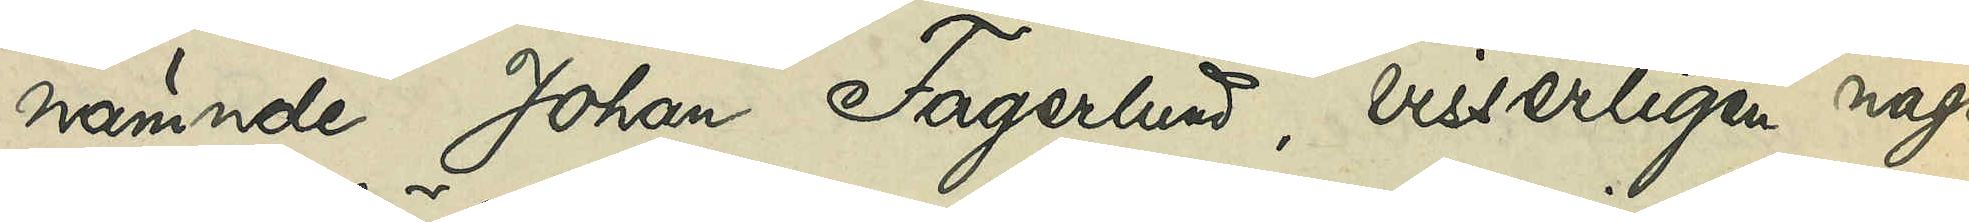nämnde Johan Fagerlund, visserligen någon
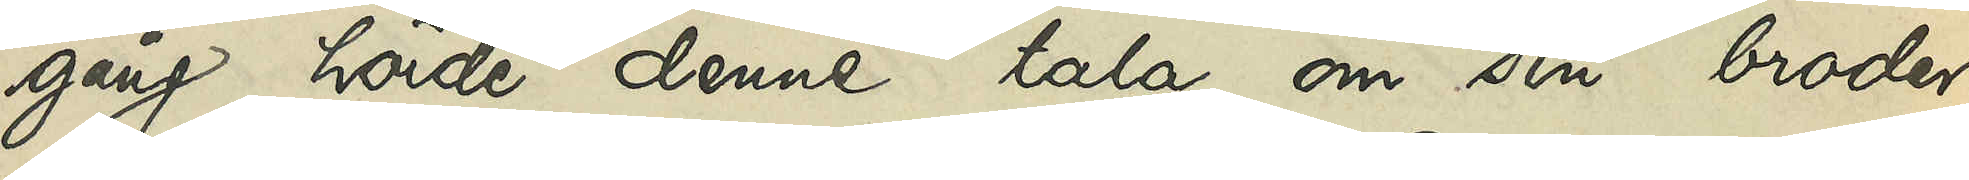gång hörde denne tala om sin broder
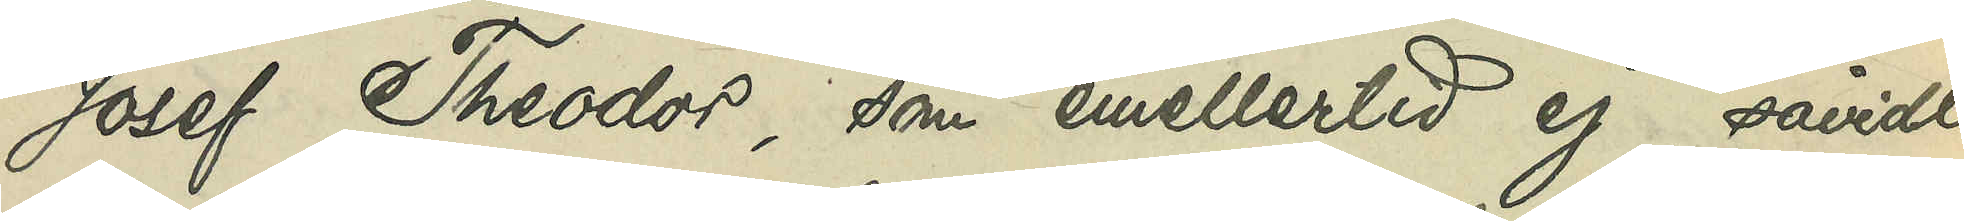Josef Theodor, som emellertid ej såvidt
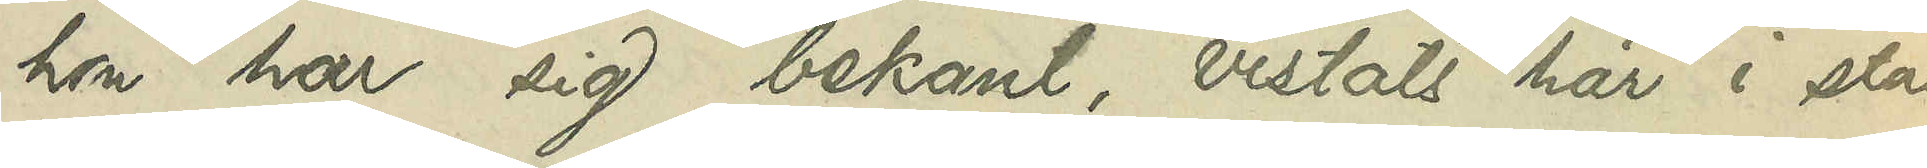hon har sig bekant, vistats här i sta
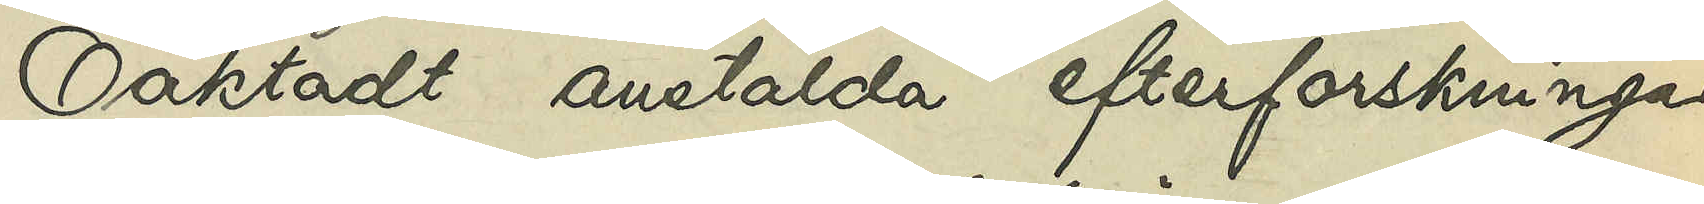Oaktadt anstälda efterforskningar
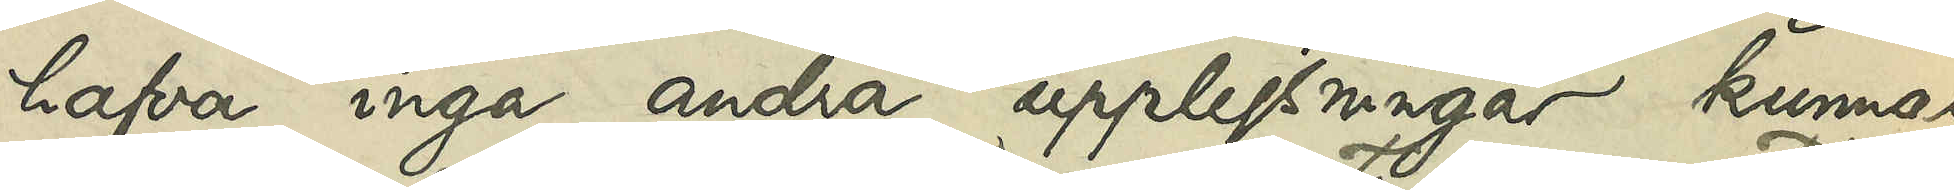hafva inga andra upplysningar kunnat
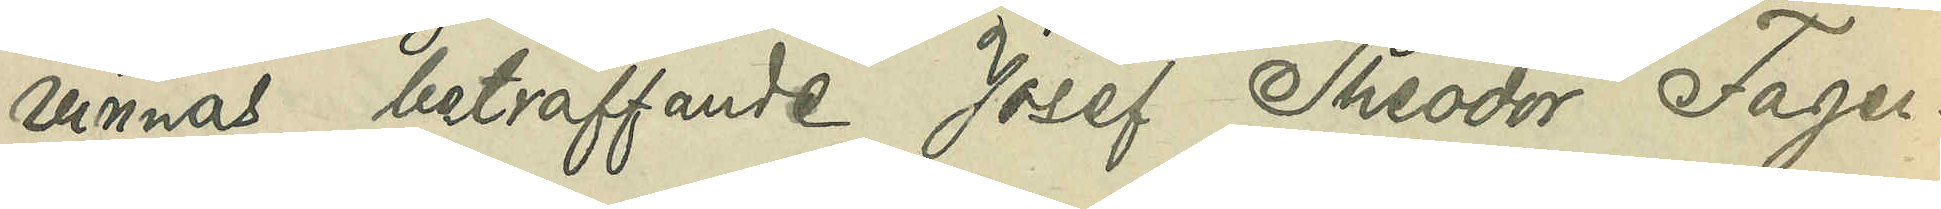vinnas beträffande Josef Theodor Fager¬
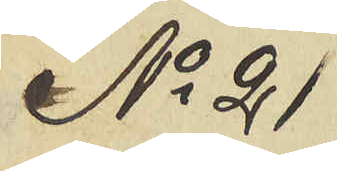No 21
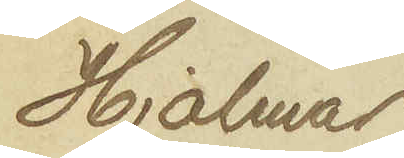Hjalmar
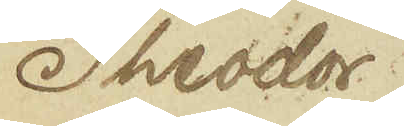Theodor
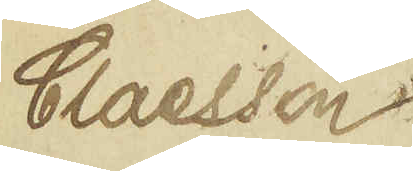Claesson.
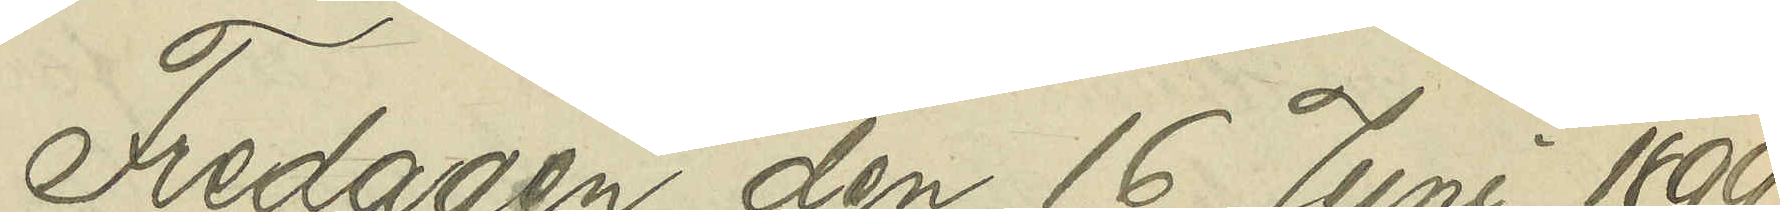Fredagen den 16 Juni 1899
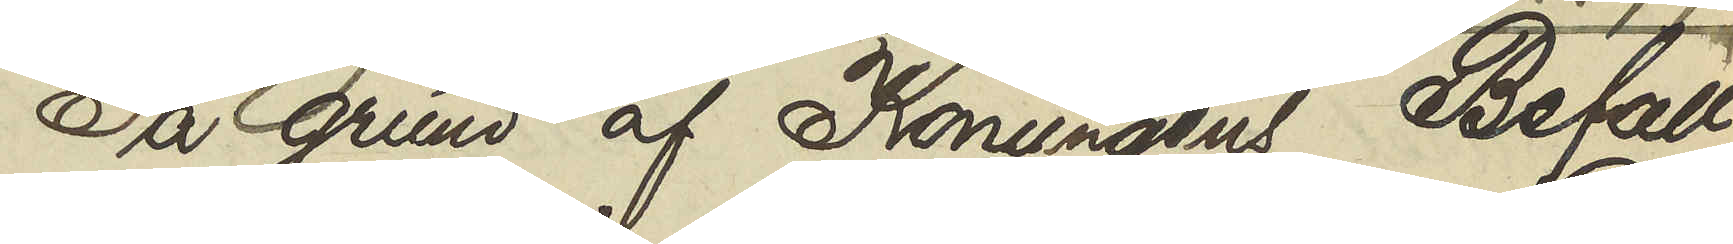På grund af Konungens Befall¬
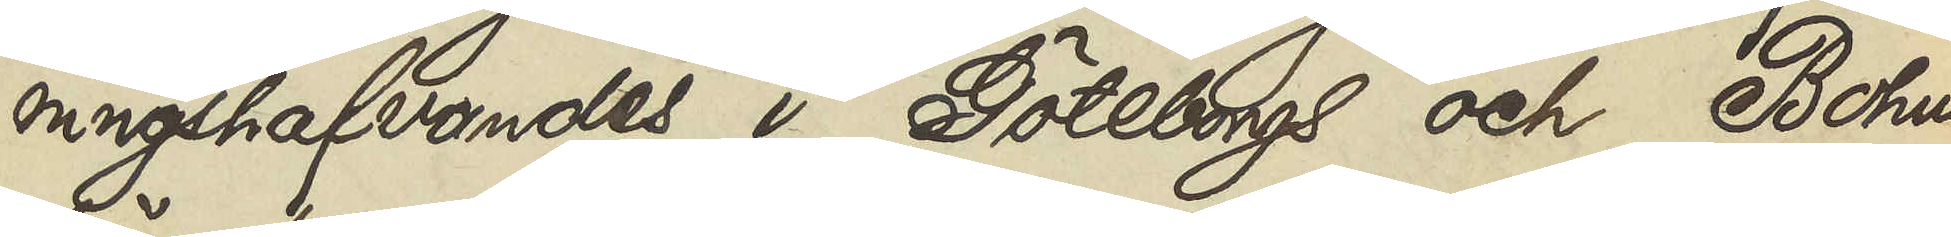ningshafvandes i Göteborgs och Bohus
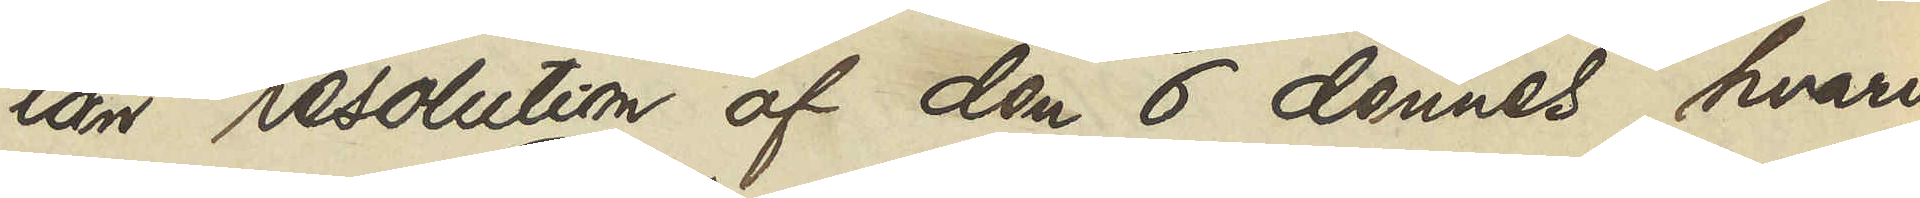län resolution af den 6 dennes, hvari
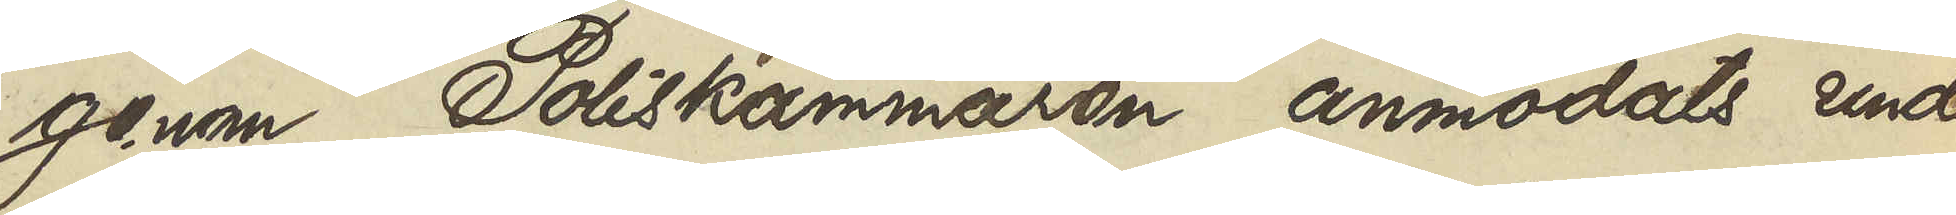genom Poliskammaren anmodats under¬
